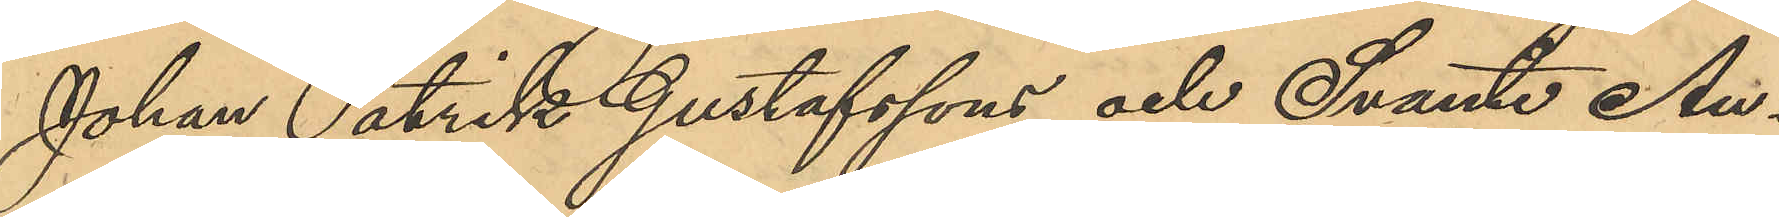Johan Patrik Gustafssons och Svante Au¬
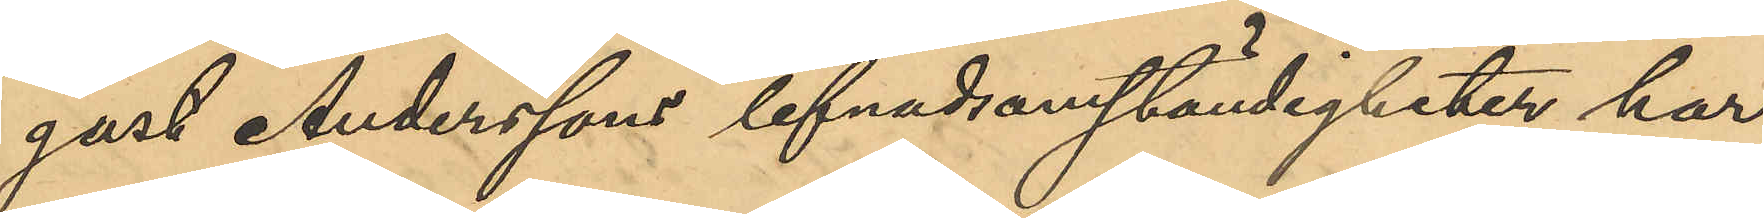gust Anderssons lefnadsomständigheter har
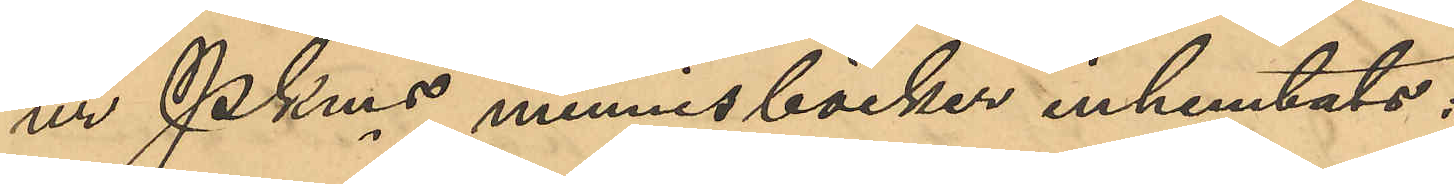ur PKmns minnesböcker inhemtats:
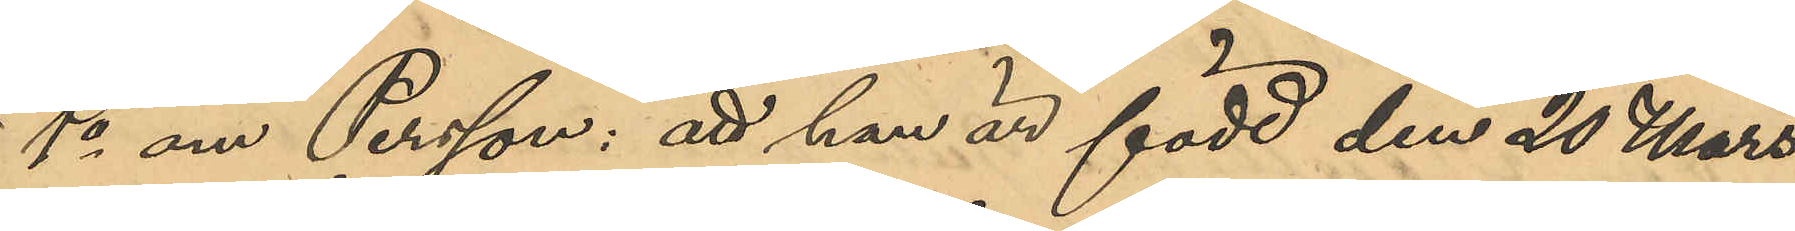1o om Persson: att han är född den 20 Mars
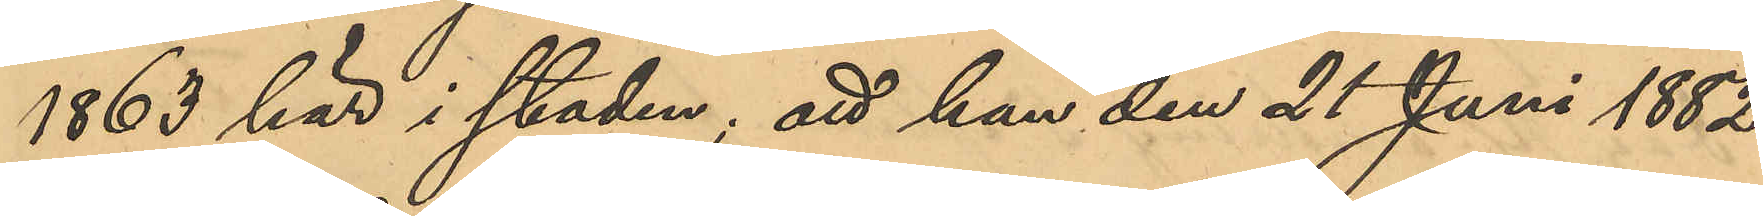1863 här i staden; att han den 21 Juni 1882
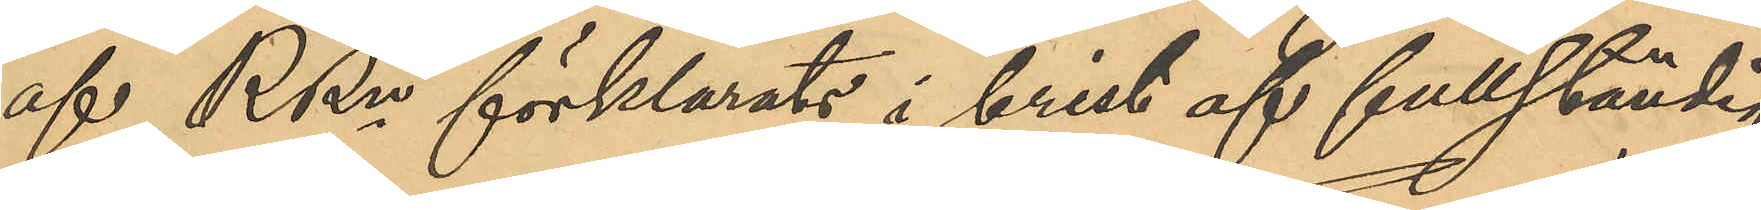af RRn förklarats i brist af fullständig
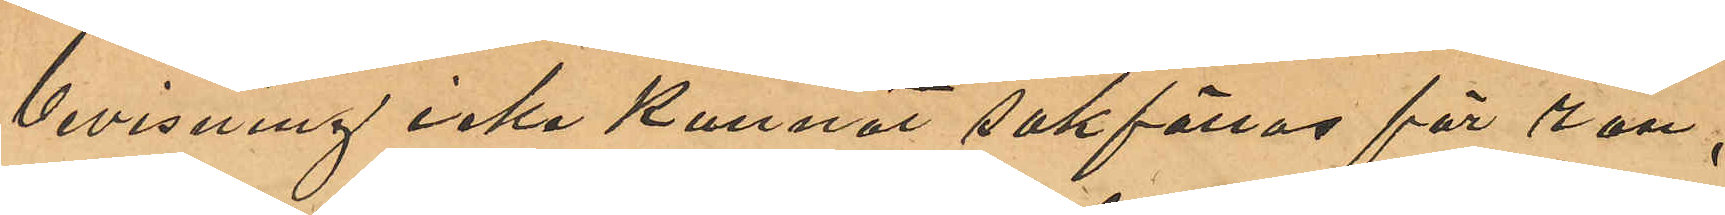bevisning icke kunnat sakföras för rån;
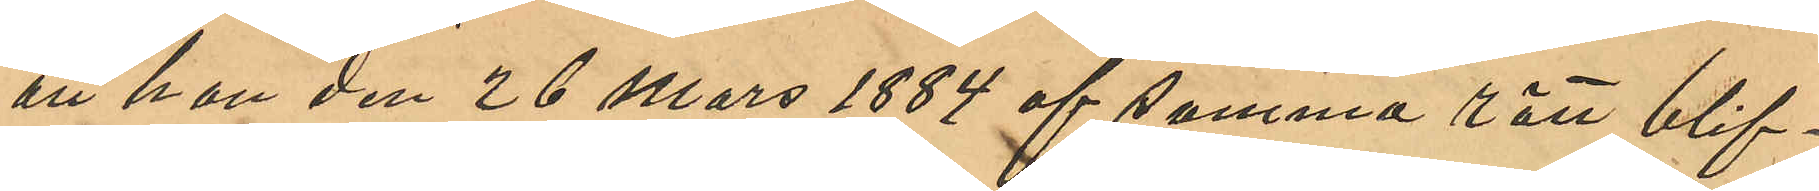att han den 26 Mars 1884 af samma rätt blif¬
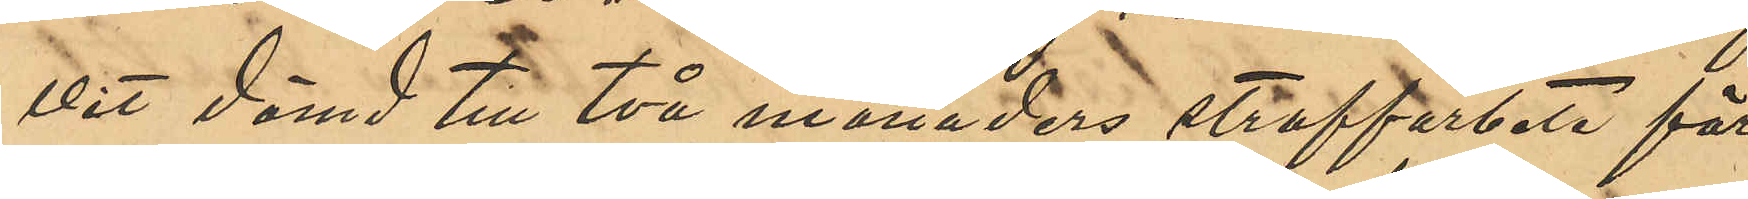vit dömd till två månaders straffarbete för
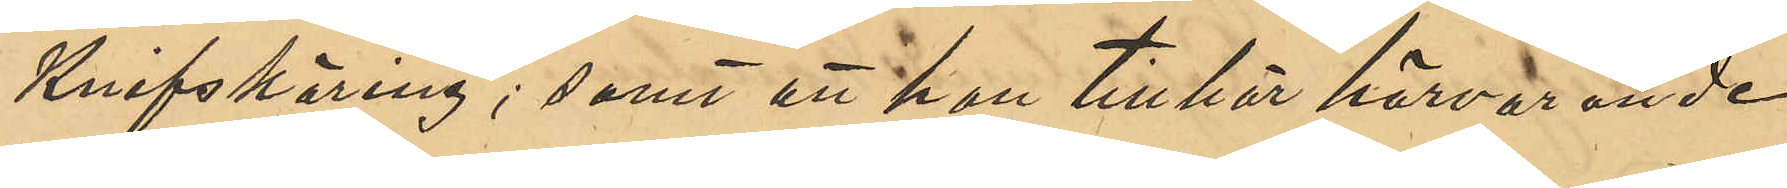Knifskäring; samt att han tillhör härvarande
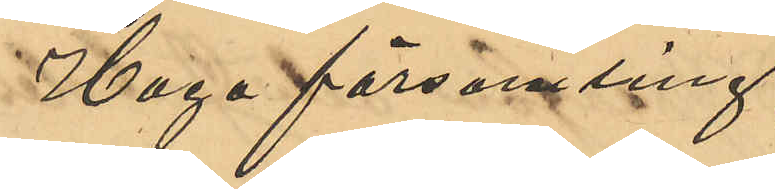Haga församling;
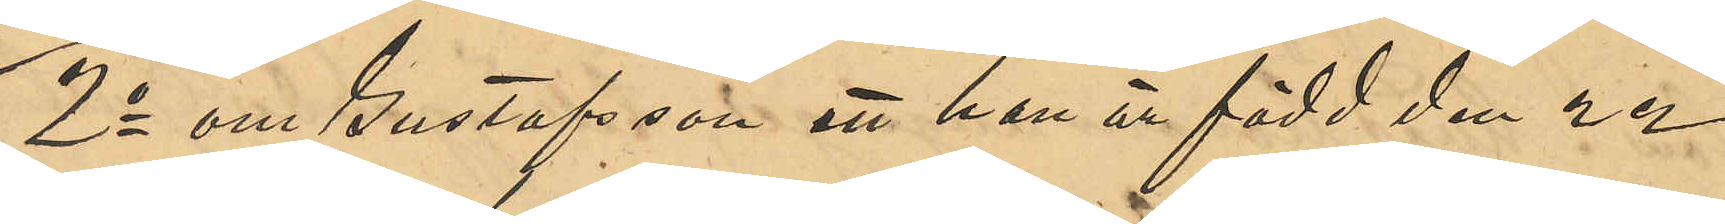2o om Gustafsson att han är född den 22
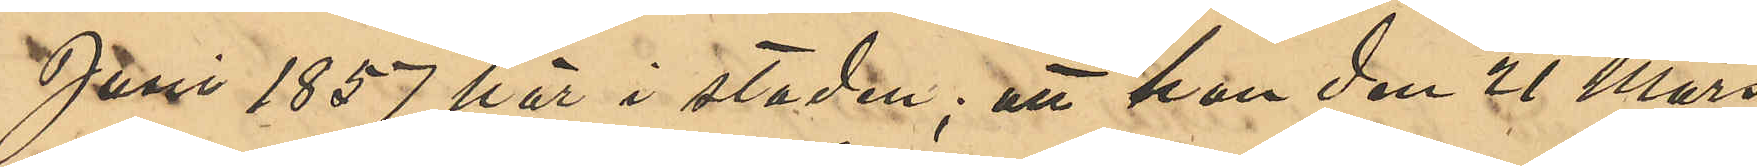Juni 1857 här i staden; att han den 21 Mars
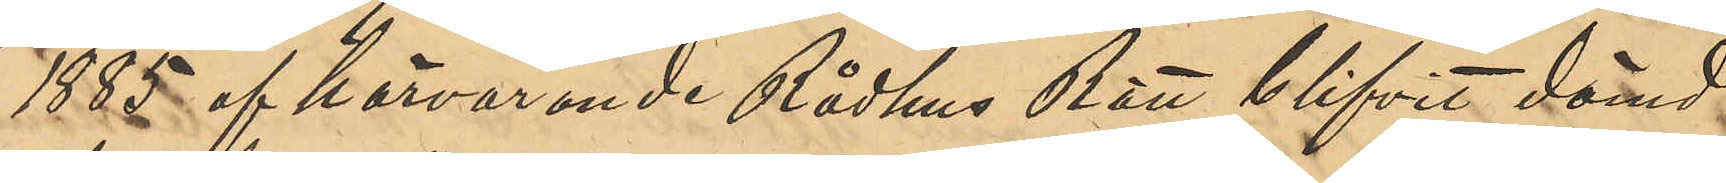1885 af härvarande Rådhus Rätt blifvit dömd
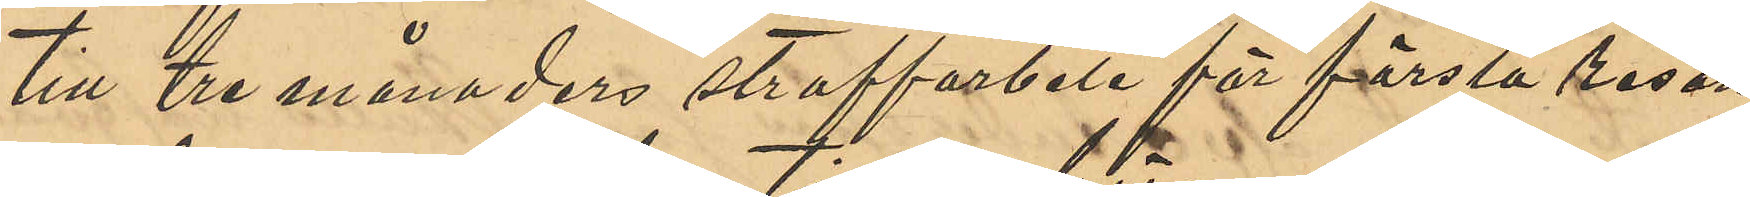till tre månaders straffarbete för första resan
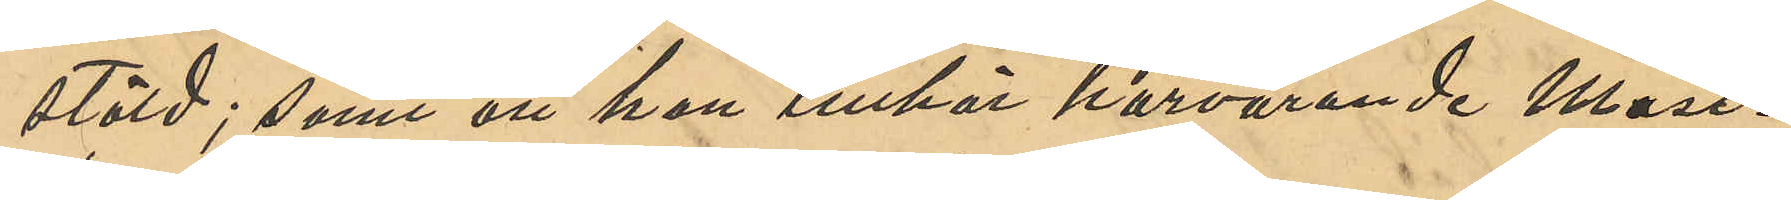stöld; samt att han tillhör härvarande Mast¬
